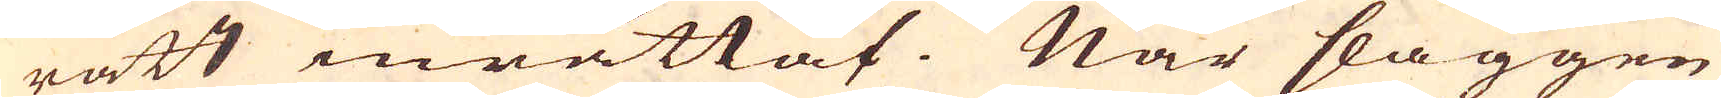rätt inrättat. När slaggen
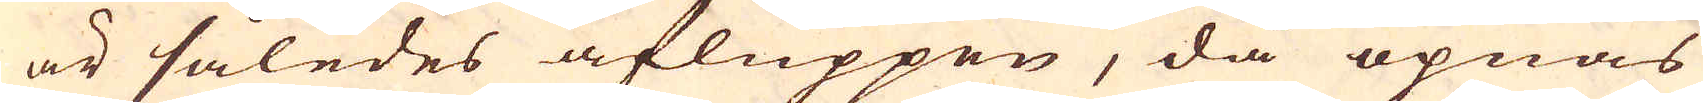är således afluppen, då öpnas
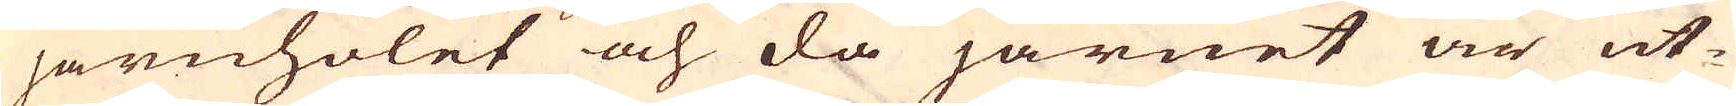järnholet och då järnet är ut-
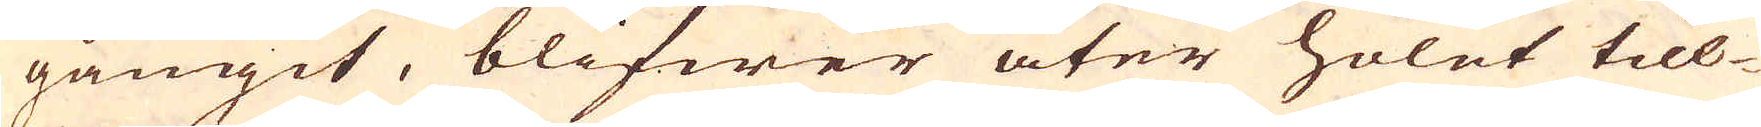gångit, blifwer åter holet till-
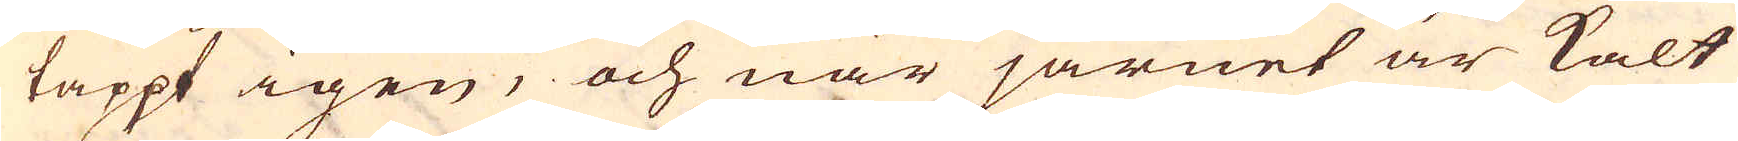täppt igen, och när järnet är kalt
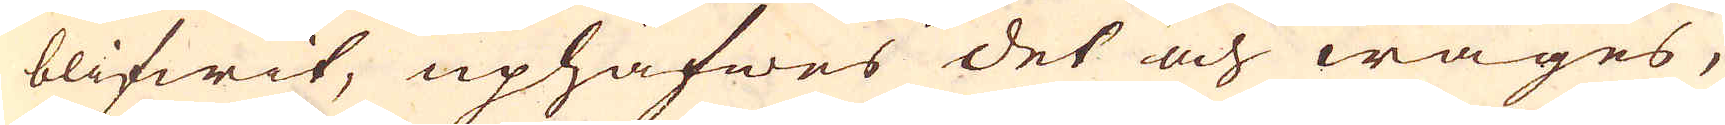blifwit, uphäfwes det och wäges,
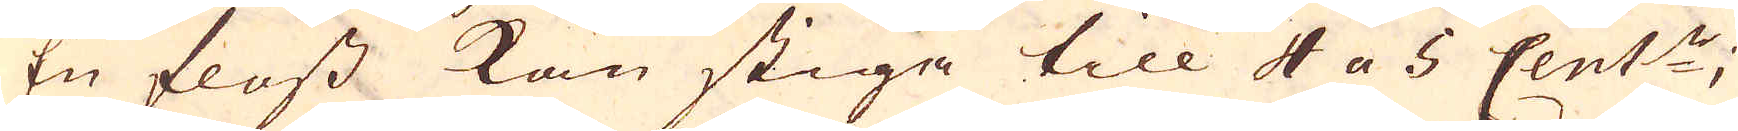En floss kan stiga till 4 a 5 Cent:r;
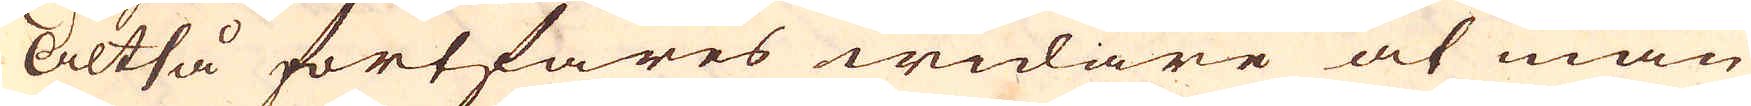Altså fortfares widare at man
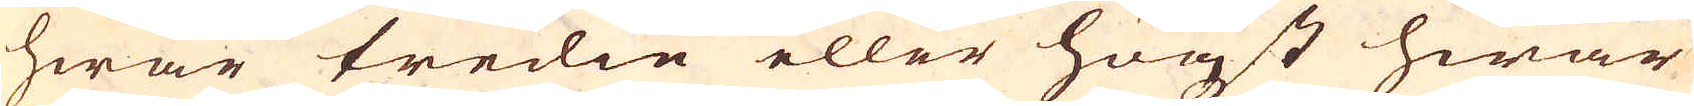hwar tredia eller högst hwar
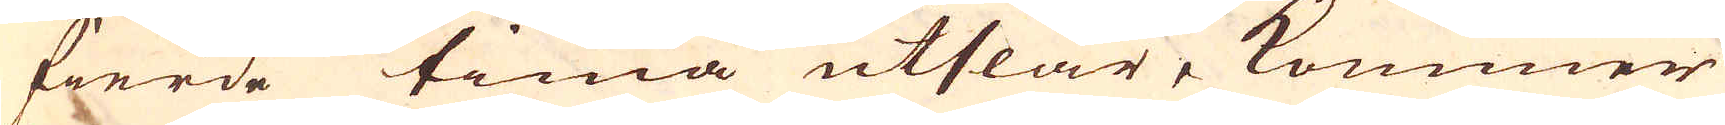fierde tima utslår, kommer
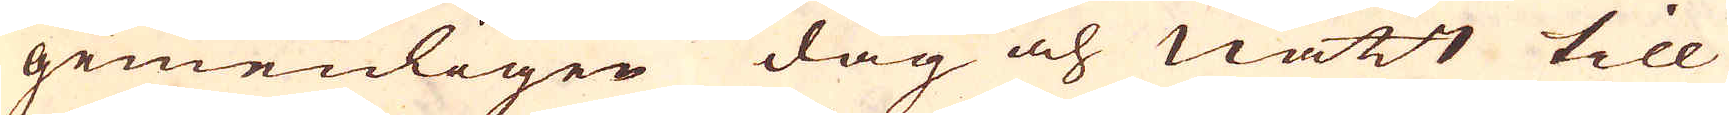gemenligen dag och natt till
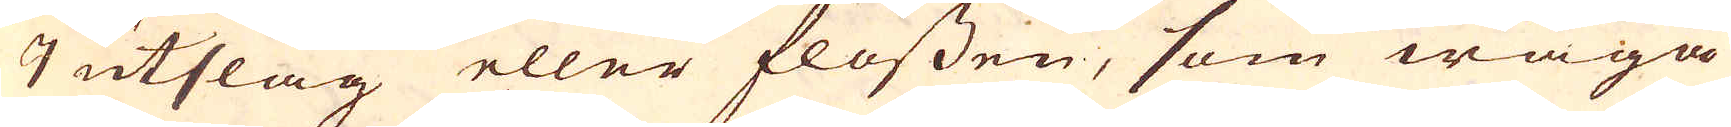7 utslag eller flossen, som wäga
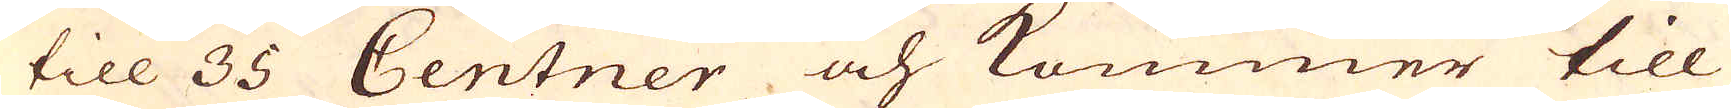till 35 Centner och kommer till
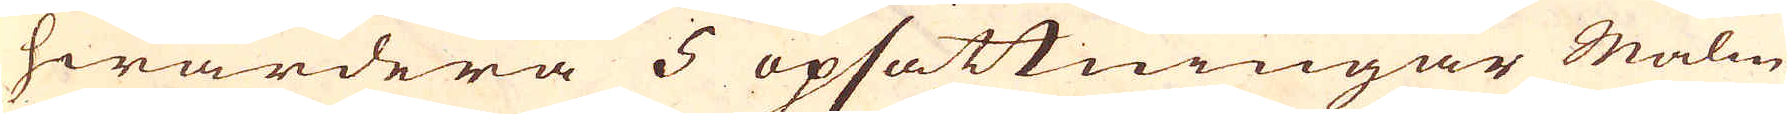hwardera 5 opsättningar Malm
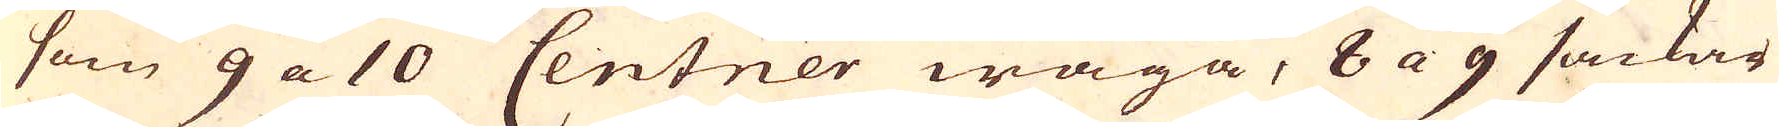som 9 a 10 Centner wäga, 8 a 9 säckar
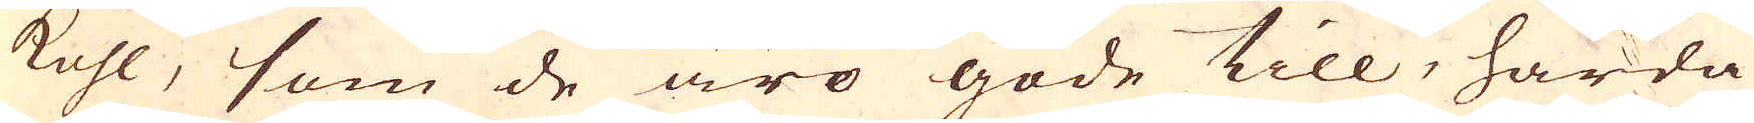kohl, som de äro gode till, hårda
